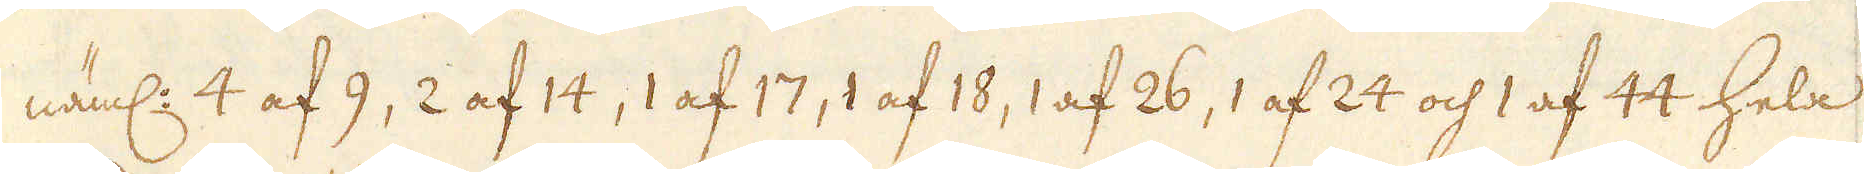näml: 4 af 9, 2 af 14, 1 af 17, 1 af 18, 1 af 26, 1 af 24 och 1 af 44 hela
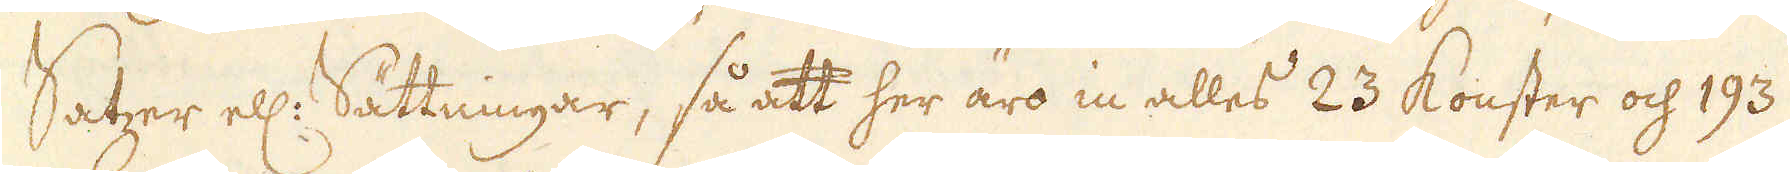Satzer ell: Sättningar, så att her äro in alles 23 konster och 193
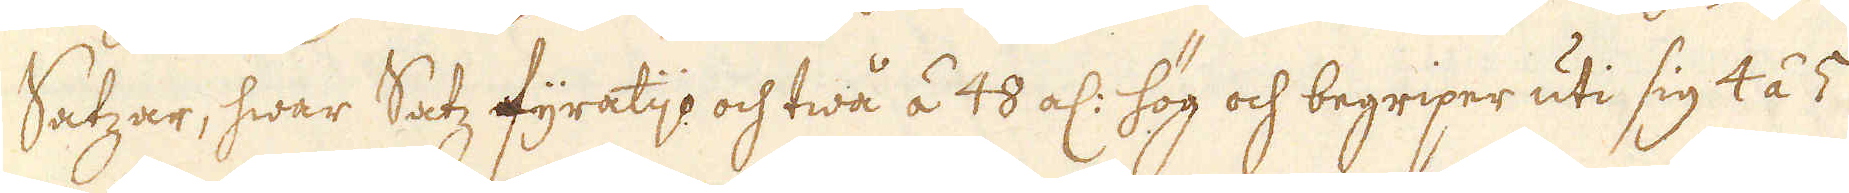Satzar, hwar Satz fyratijo och twå á 48 al: hög och begriper uti sig 4 á 5
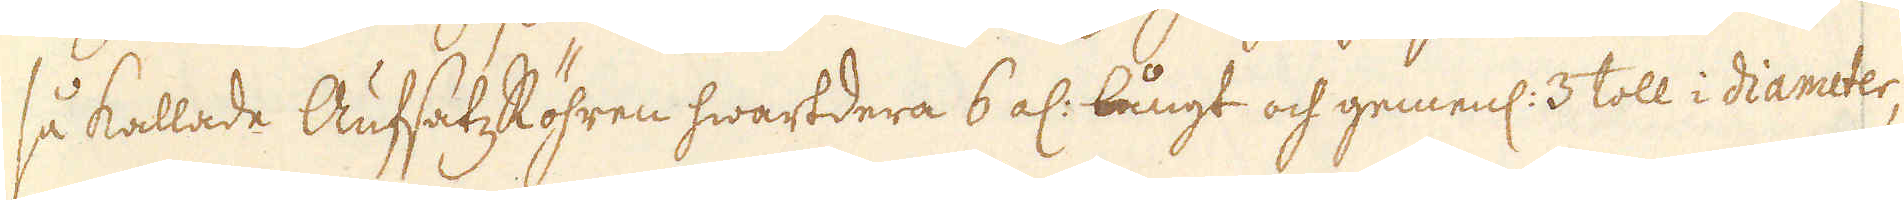så kallade AufsatzRöhren hwartdera 6 al: långt och gemenl: 3 toll i diameter,
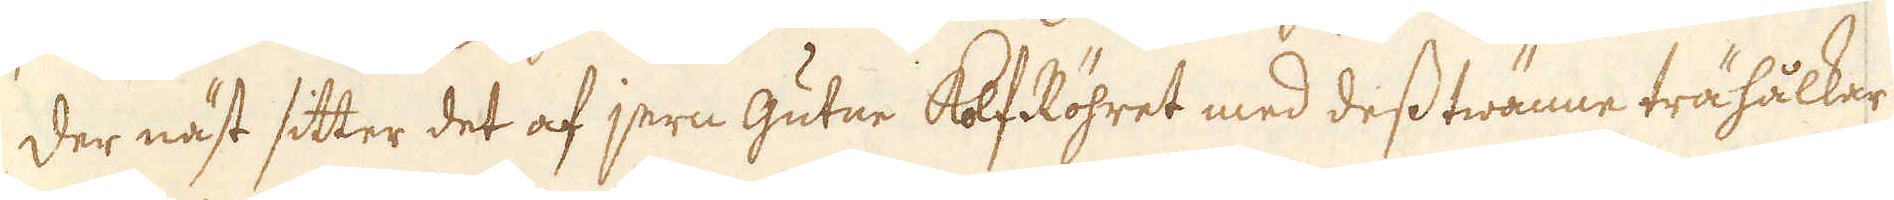der näst sitter det af jern gutne Kolf Röhret med dess twänne trähålkar
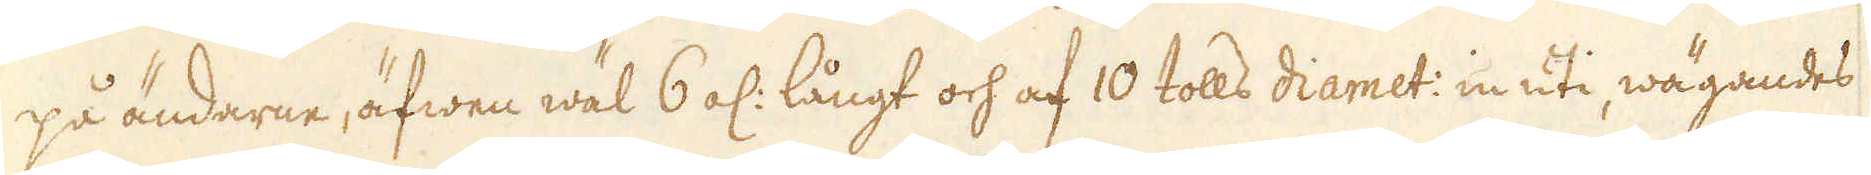på ändarne, äfwen wäl 6 al: långt och af 10 tolls diamet: in uti, wägandes
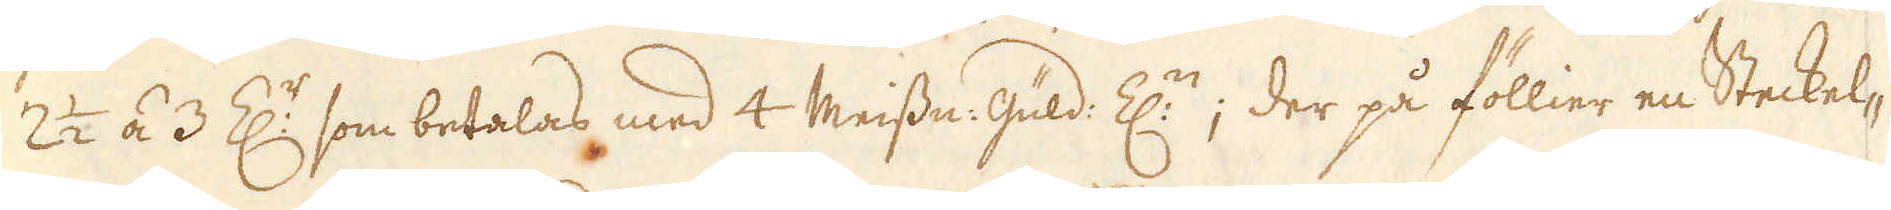2 1/2 á 3 Z:r som betalas med 4 Meissn: güld: Z:n; der på föllier en Steckel-
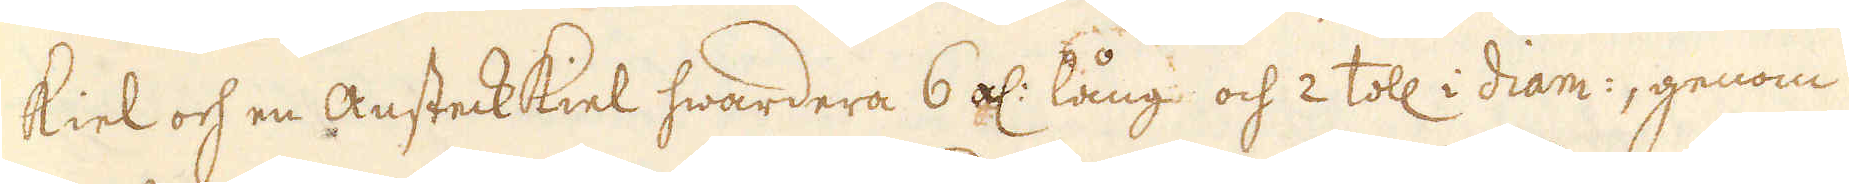kiel och en Ansteckkiel hwardera 6 al: lång och 2 toll i diam:, genom
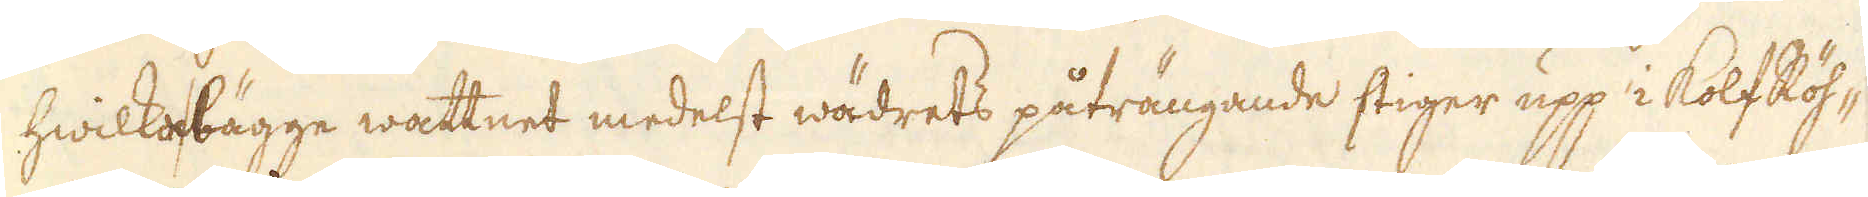hwilka bägge wattnet medelst wädrets påträngande stiger upp i kolfRöh-
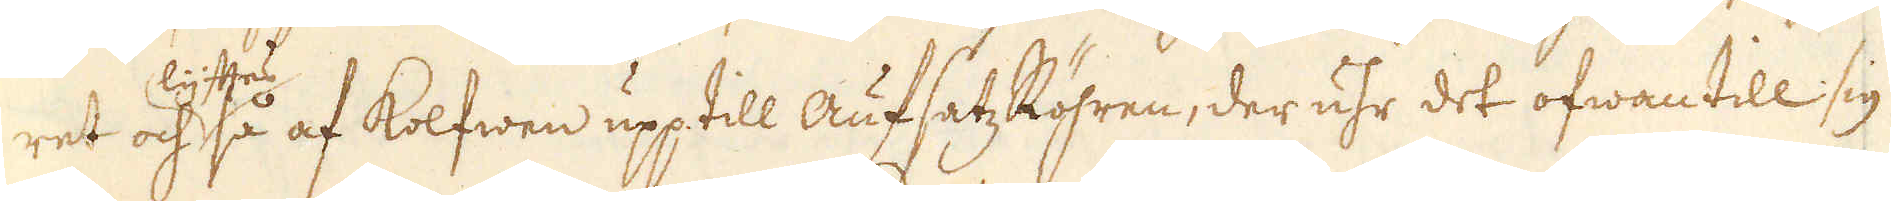ret och lyftas så af kolfwen upp till aufsatz Röhren, der uhr det ofwan till sig
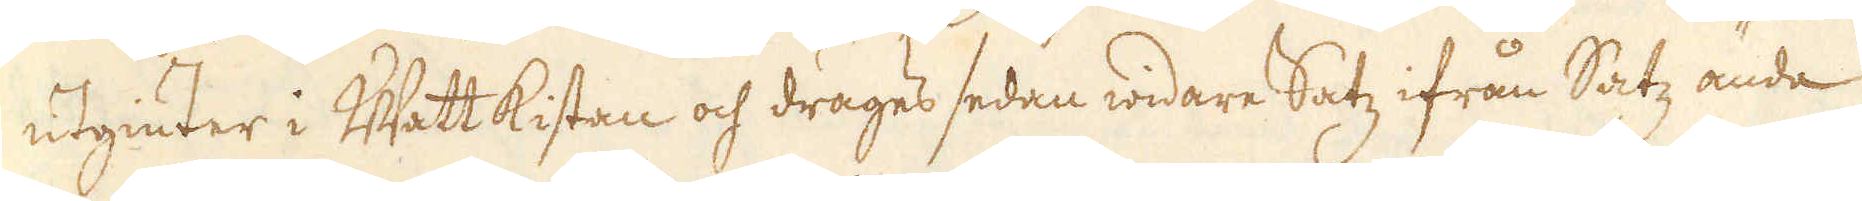utgiuter i Watt kistan och drages sedan widare Satz ifrån Satz ända
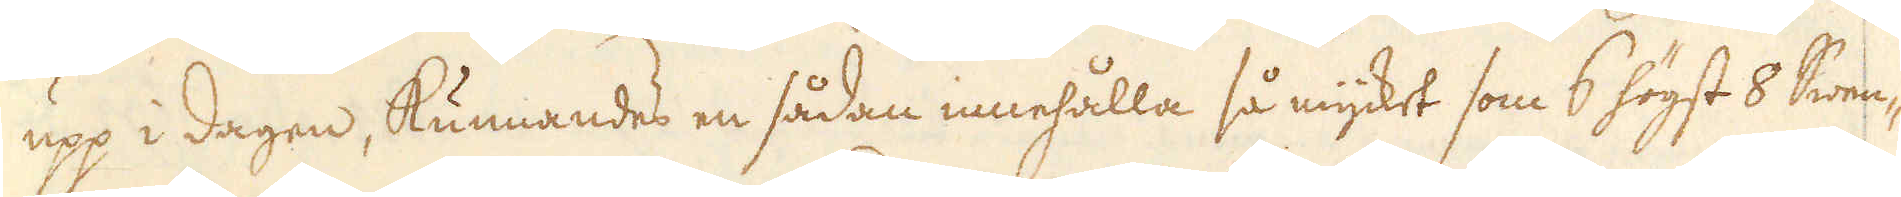upp i dagen, kunnandes en sådan innehålla så mycket som 6 högst 8 Swen-
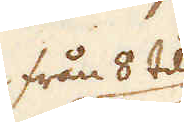från 8 til
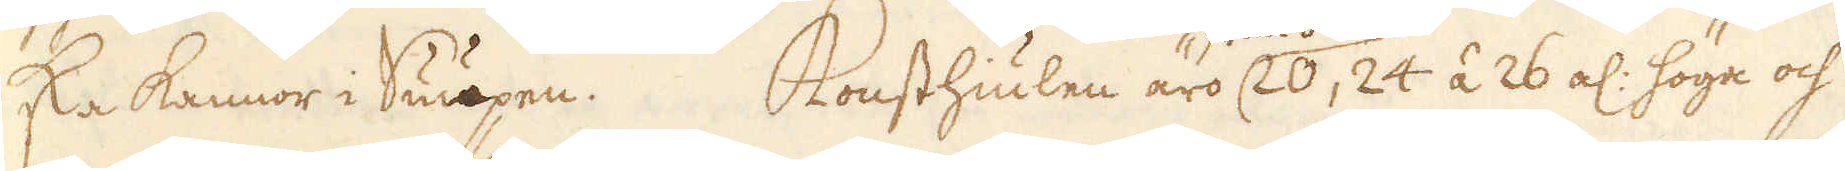ska kannor i Sumpen. Konsthiulen äro 20, 24 á 26 al: höga och
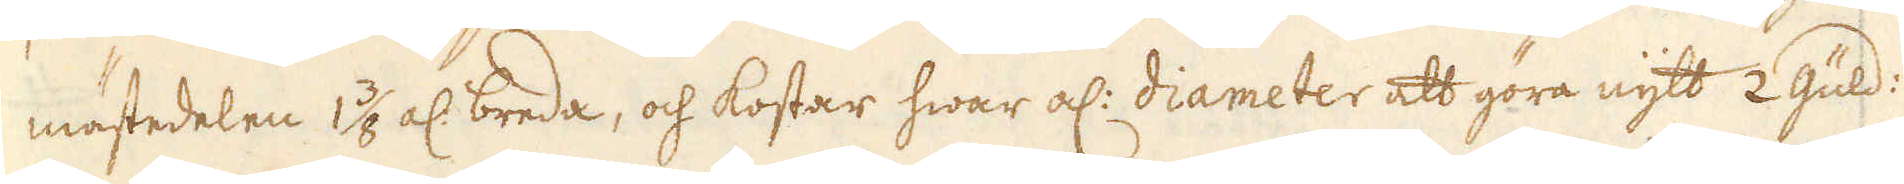mästedelen 1 3/8 al: breda, och kostar hwar al: diameter att göra nytt 2 güld:
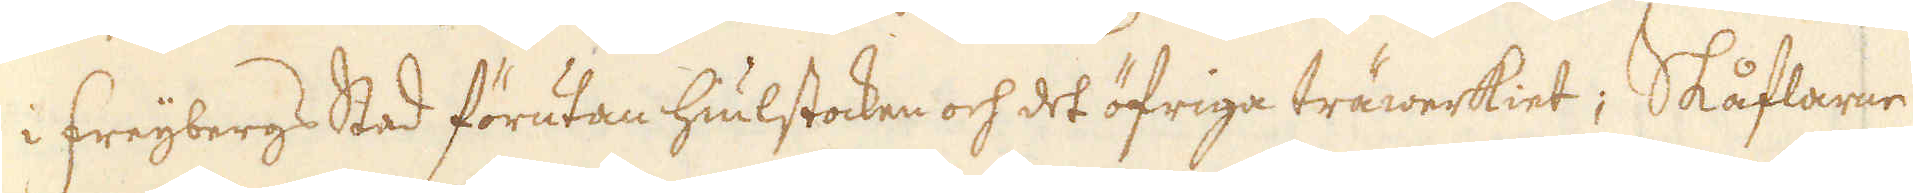i Freijbergs Stad förutan hiulstocken och det öfriga träwerkiet; Skåflarne
